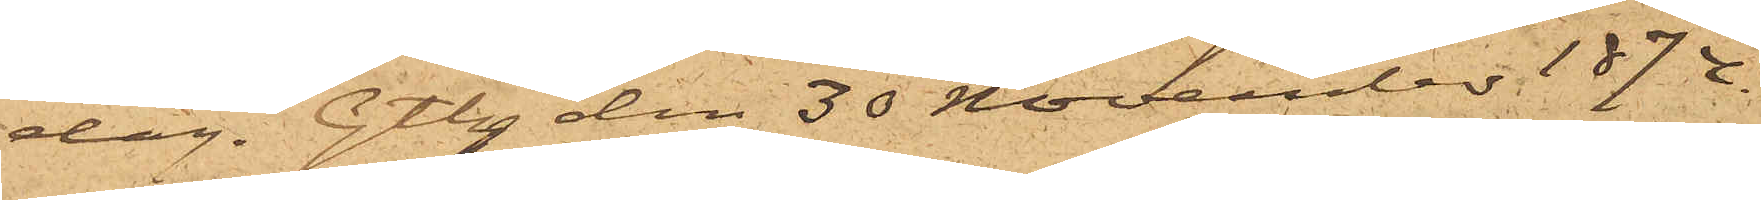dag. Gtbg den 30 November 1874.
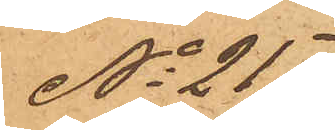No 217
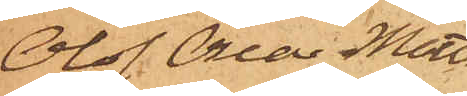Olof Oscar Matts¬
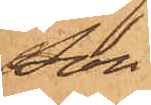son
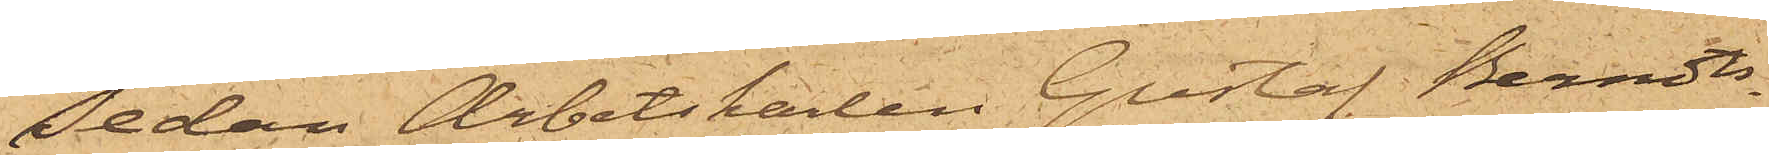Sedan Arbetskarlen Gustaf Berndts¬
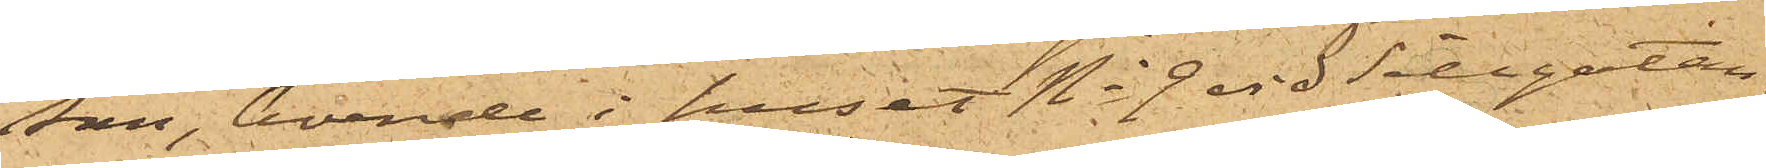son, boende i huset No 9 vid Sillgatan,
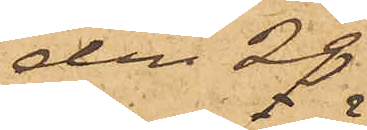den 28
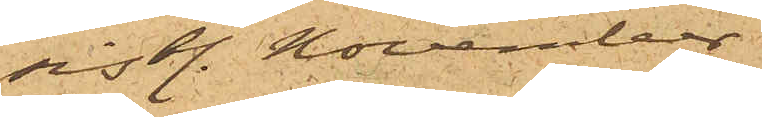sist. November
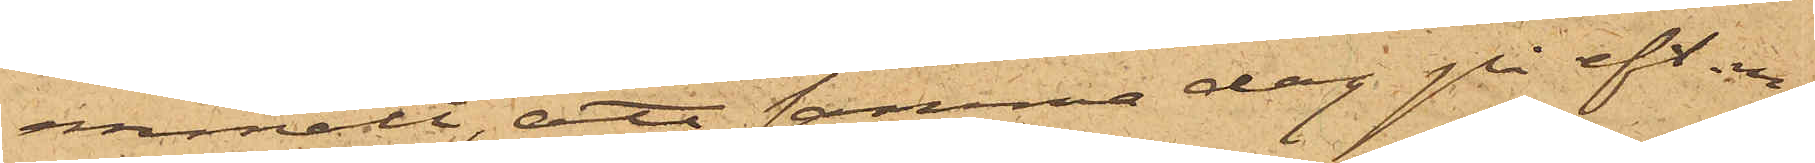anmält, att samma dag på eft. m.
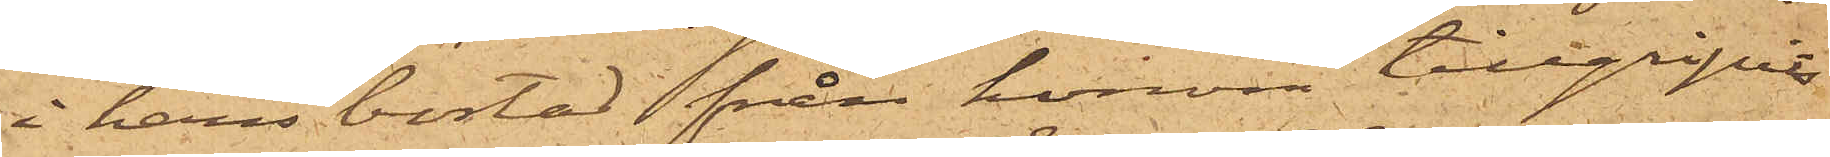i hans bostad från honom tillgripits
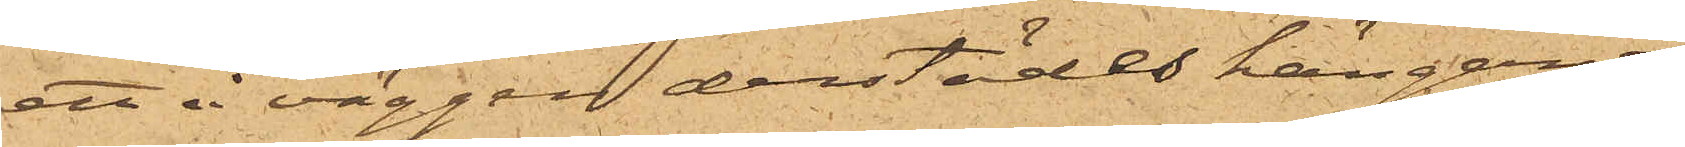ett å väggen derstädes hängande
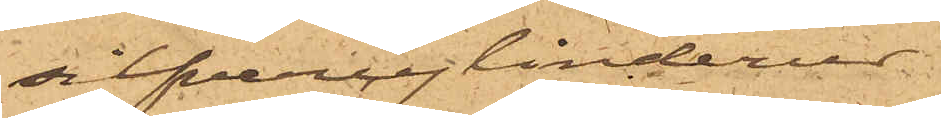silfvercylinderur
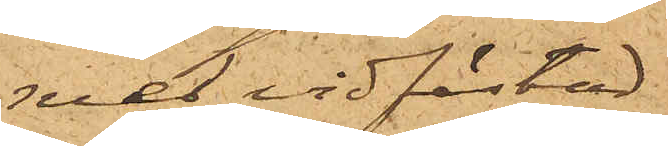med vidfästad
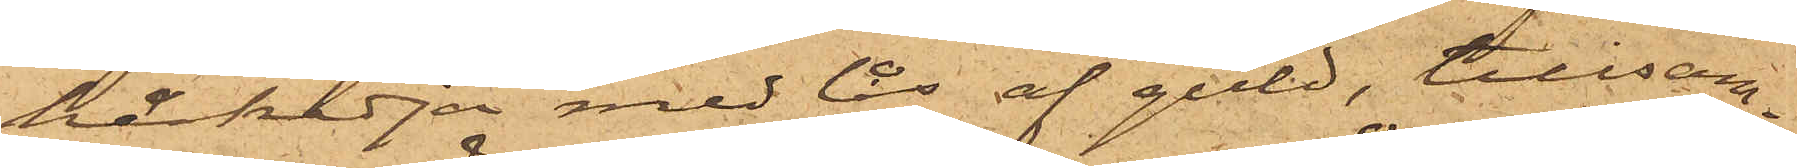hårkedja med lås af guld, tillsam¬
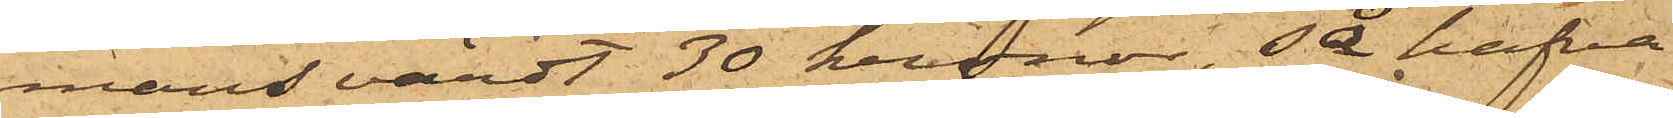mans värdt 30 kronor, så hafva
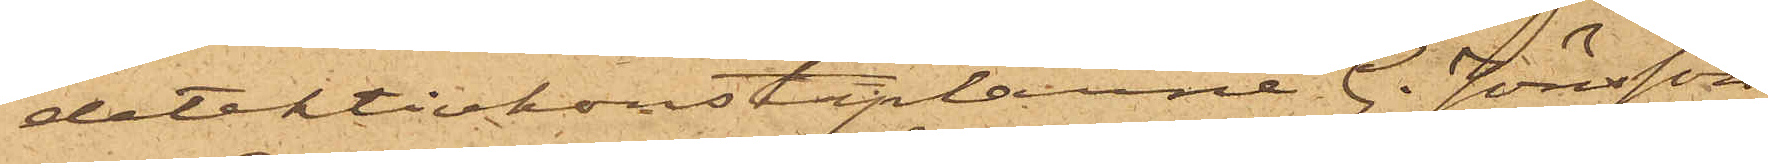detektivkonstaplarne G. Jönsson
